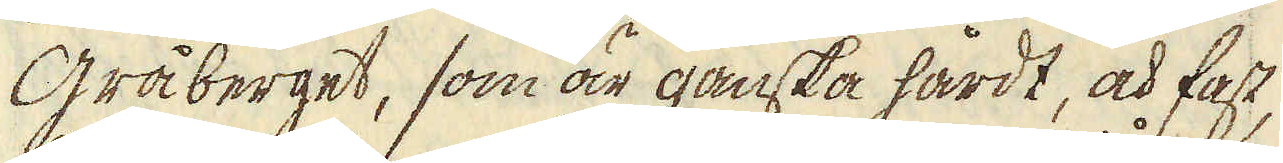Gråberget, som är ganska hårdt, och fast,
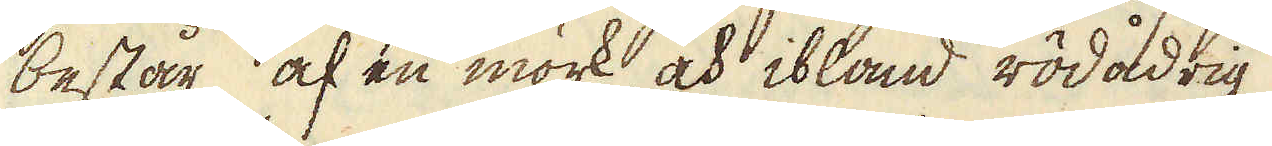består af en mörk, och ibland rödådrig
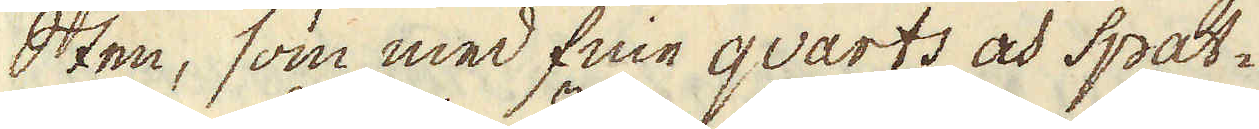Sten, som med fine qvarts och Spat-
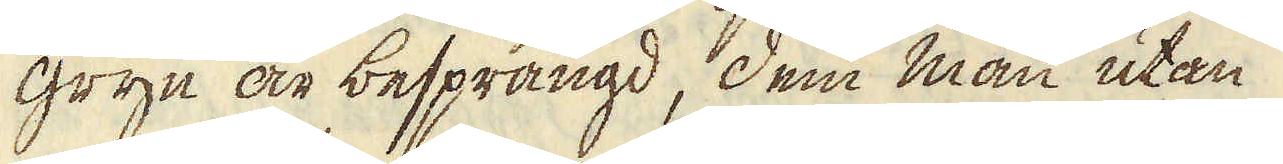gryn är besprängd, dem man utan
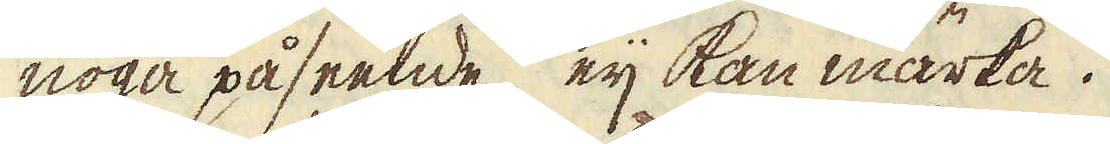noga påseende, eij kan märka.
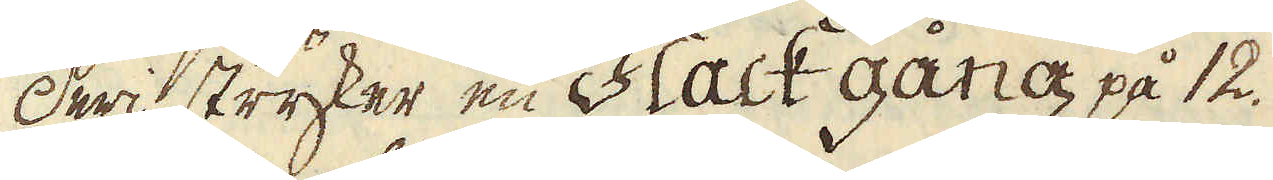Deri stryker en Flack gång på 12.
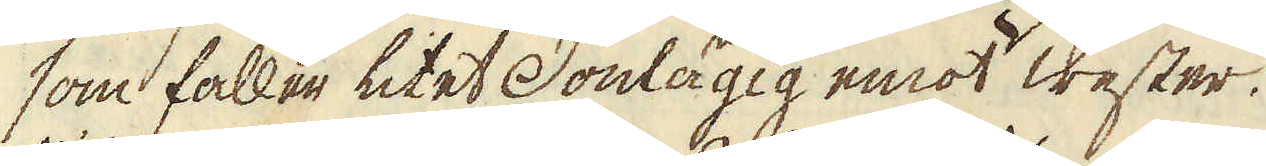som faller litet Donlägig emot wester.
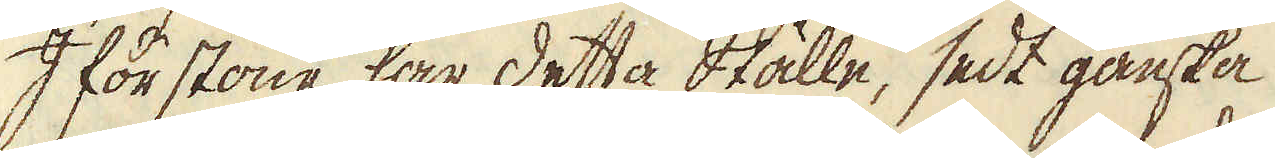I förstone har detta ställe, sedt ganska
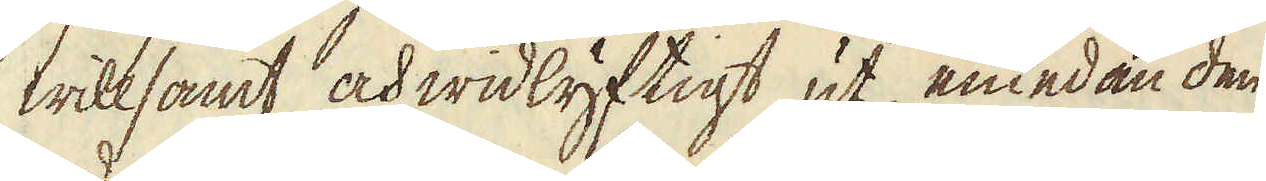willsamt och widlyftigt ut, emedan den
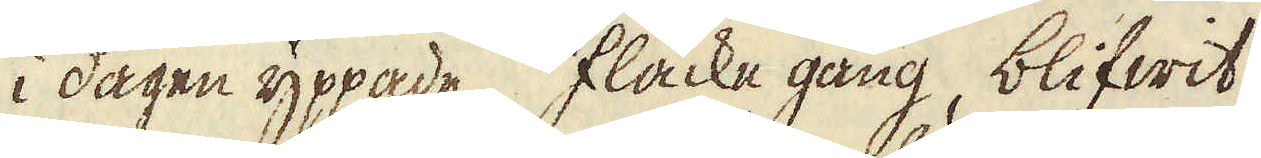i dagen yppade flacke gång, blifwit
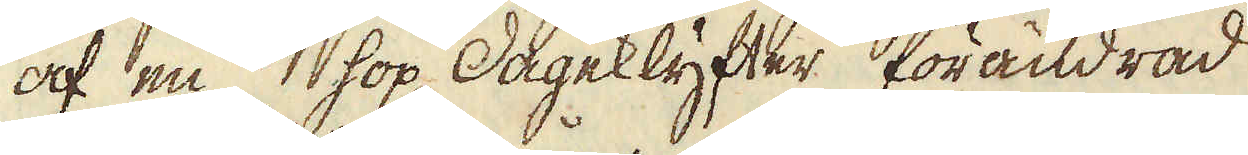af en hop dageklyfter förändrad
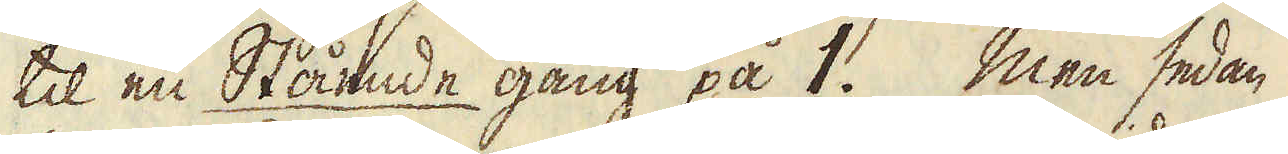til en Stående gång på 1. Men sedan
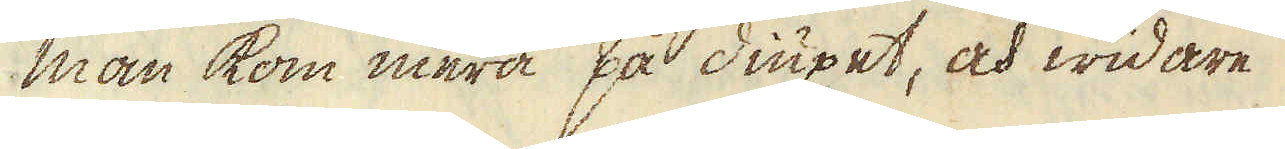man kom mera på diupet, och widare
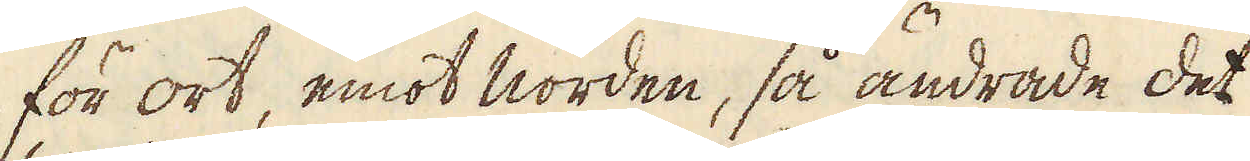för ort, emot norden, så ändrade det
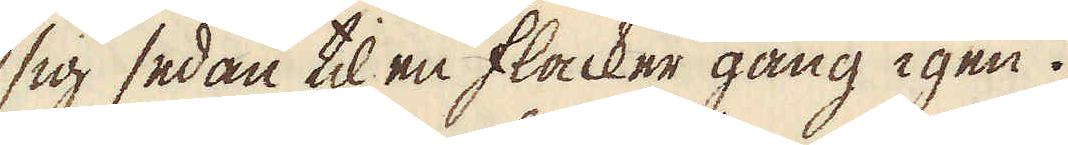sig sedan til en flacker gång igen.
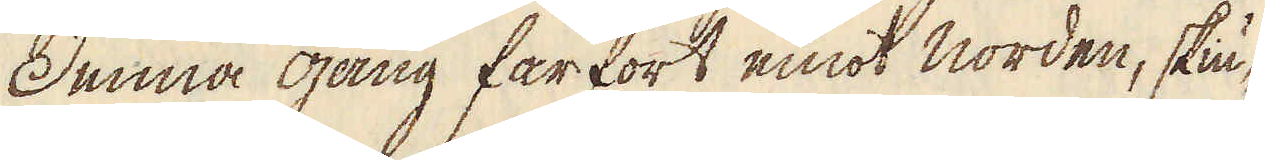Denna gång farfort emot norden, skiu-
